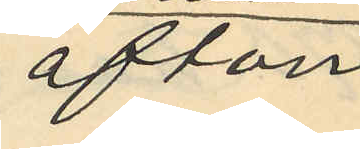afton
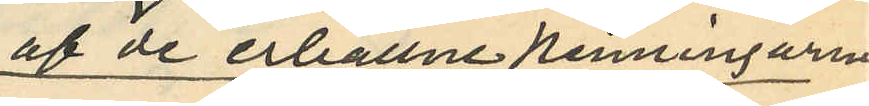af de erhållne penningarna
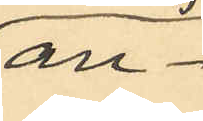an¬
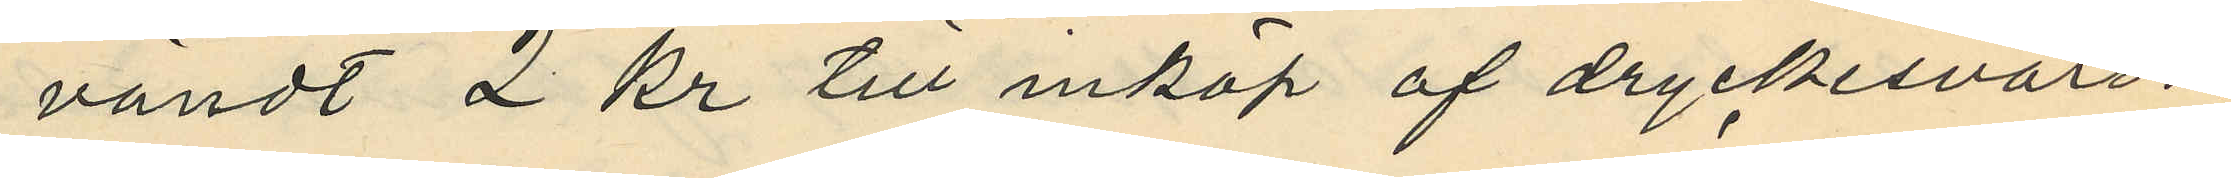vändt 2 kr till inköp af dryckesvaror;
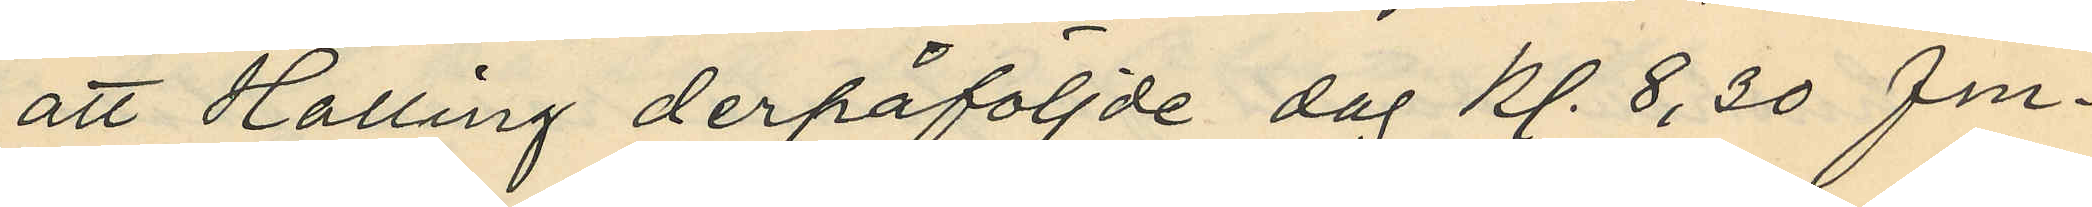att Halling derpåföljde dag kl. 8,30 fm.
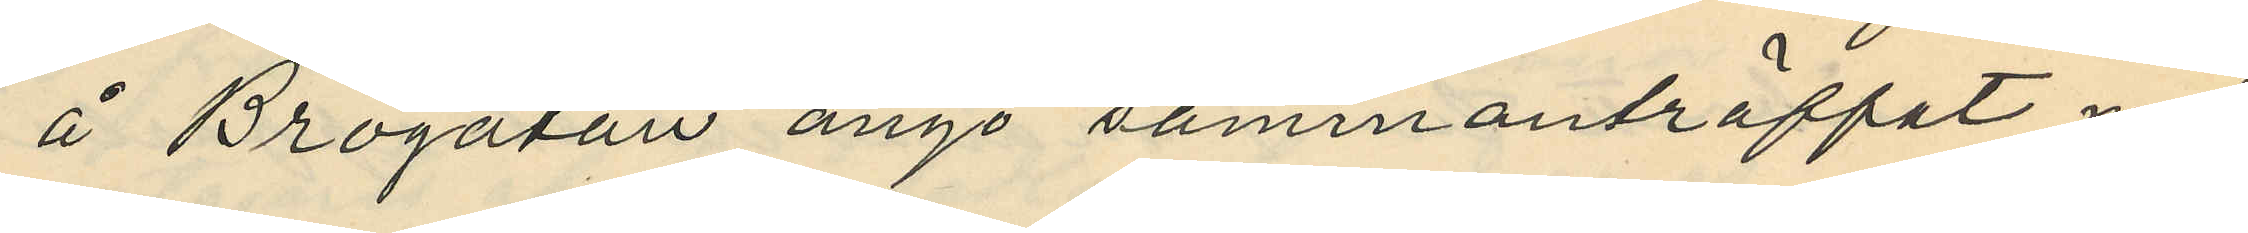å Brogatan ånyo sammanträffat med
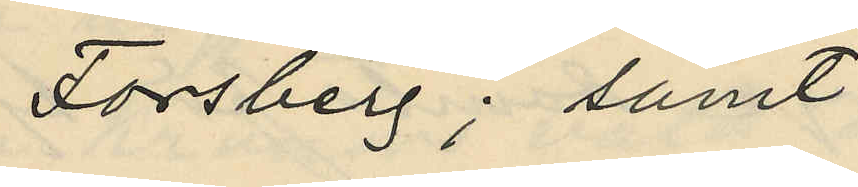Forsberg; samt
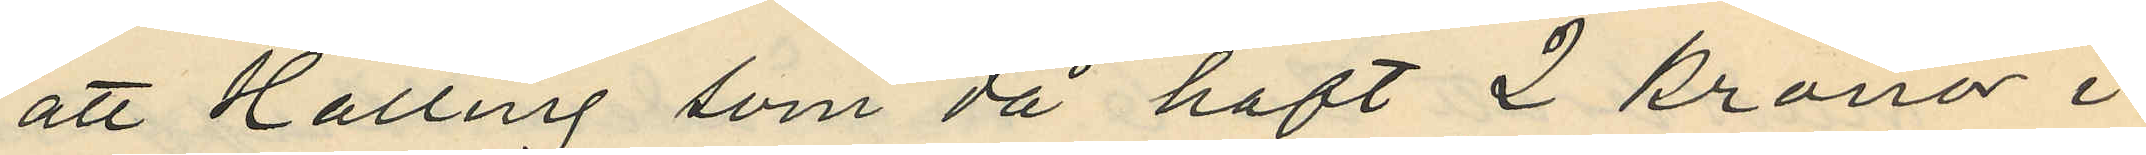att Halling som då haft 2 kronor i
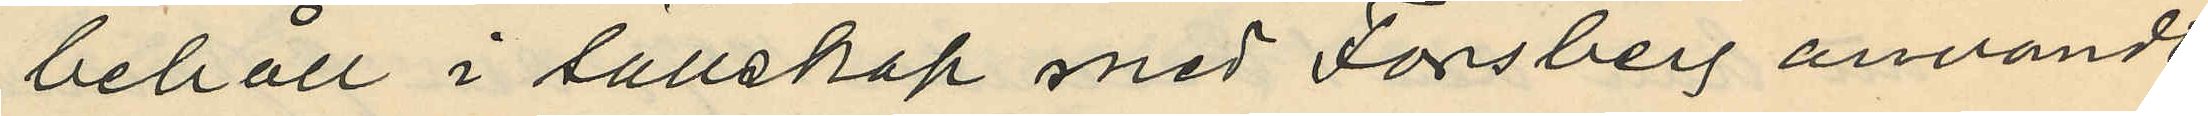behåll i sällskap med Forsberg användt
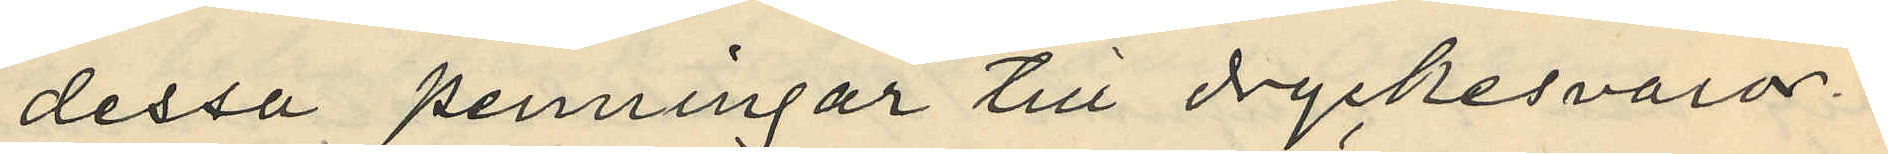dessa penningar till dryckesvaror.
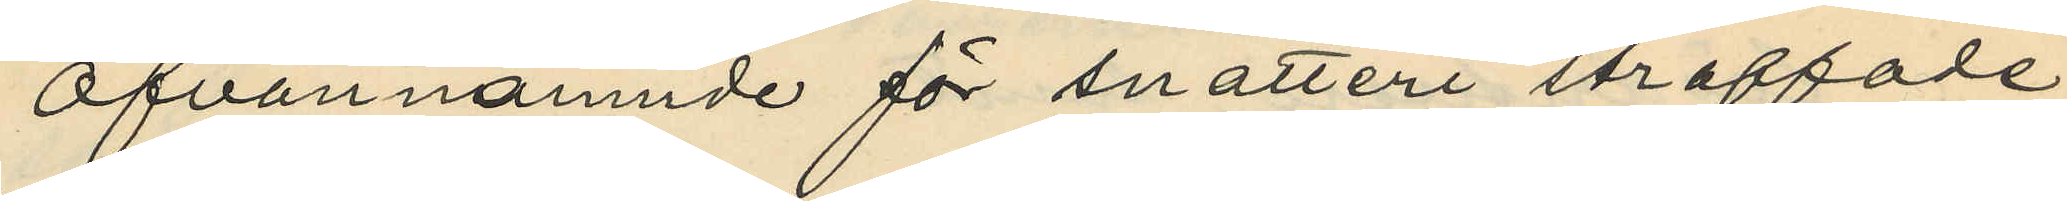Ofvannämnde för snatteri straffade
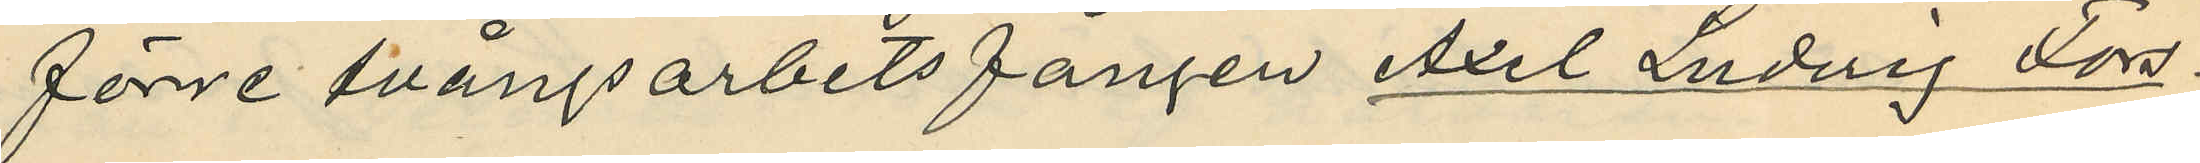förre tvångsarbetsfången Axel Ludvig Fors¬
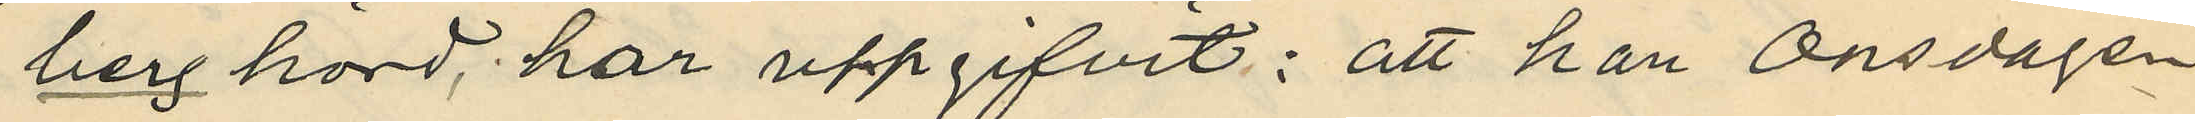berg hörd, har uppgifvit: att han Onsdagen
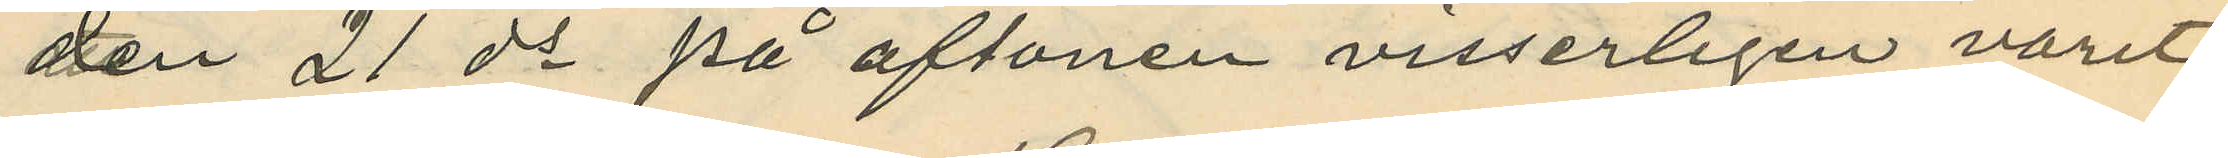den 21 ds på aftonen visserligen varit
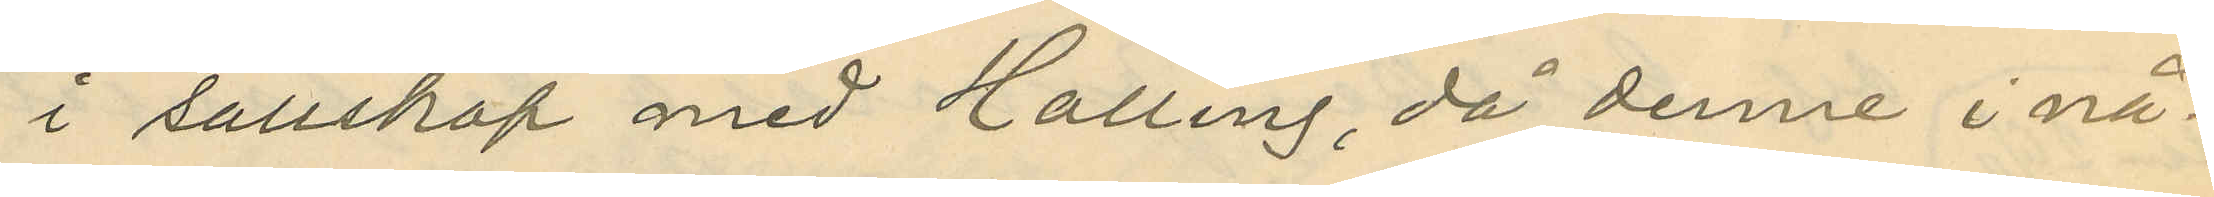i sällskap med Halling, då denne i nå¬
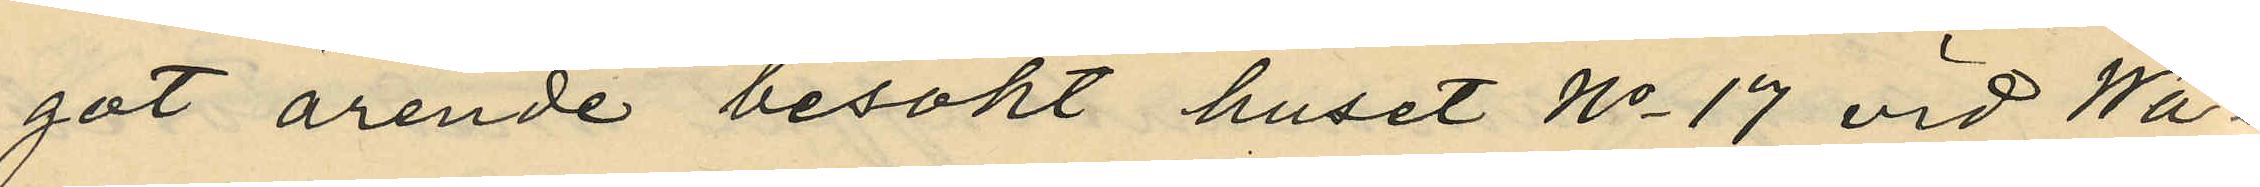got ärende besökt huset No 17 vid Wa¬
